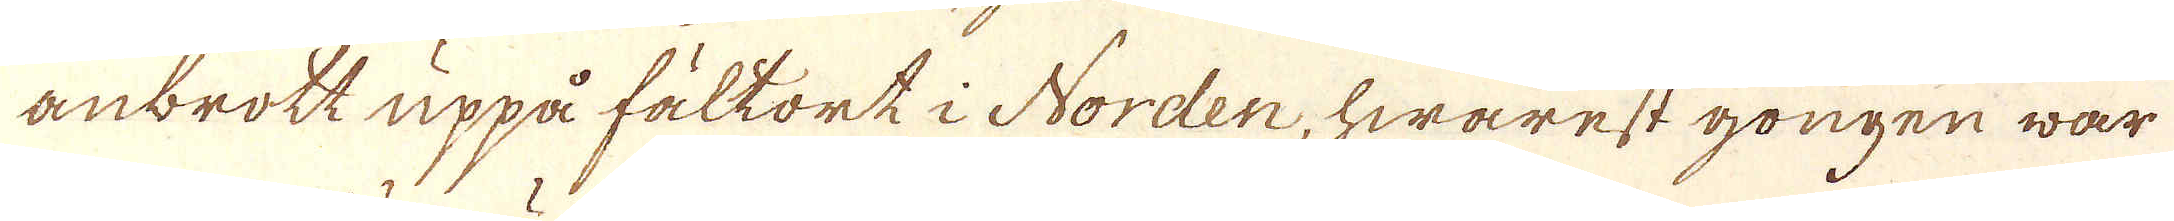anbrott uppå fältort i Norden, hwarest gongen war
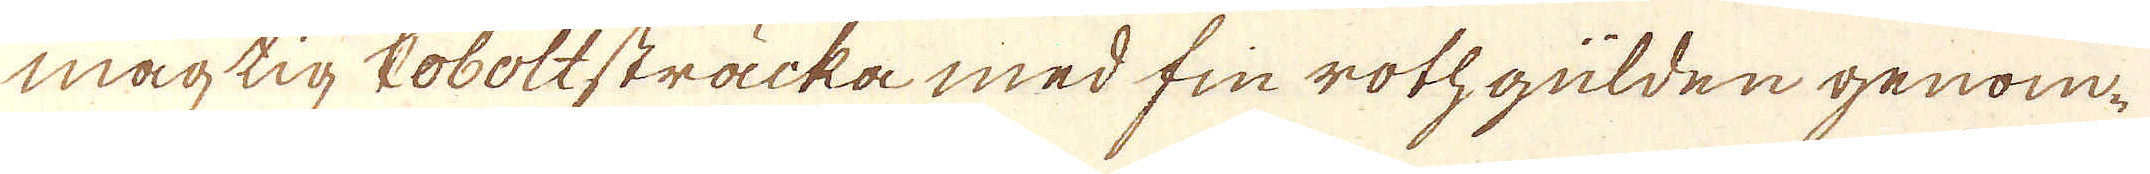mägtig Coboltsträcka med finrothgülden genom
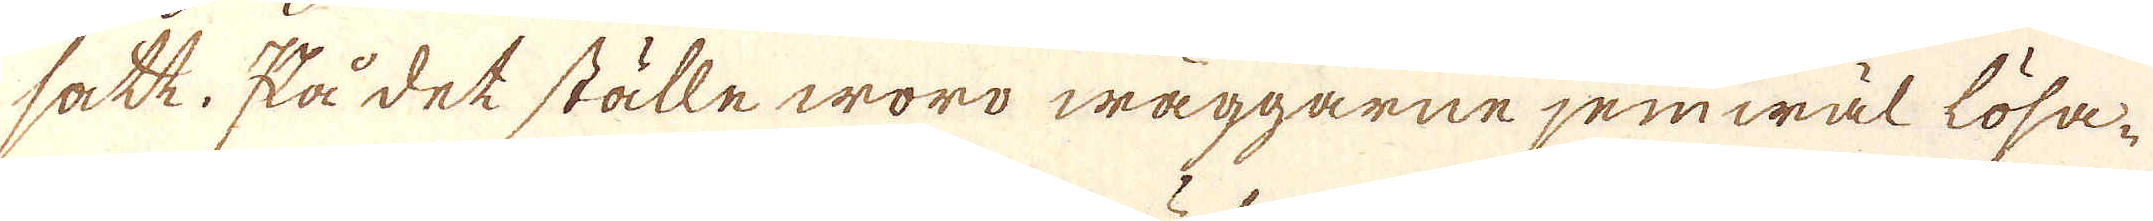satt. På det ställe woro wäggarne jemwäl lösa-
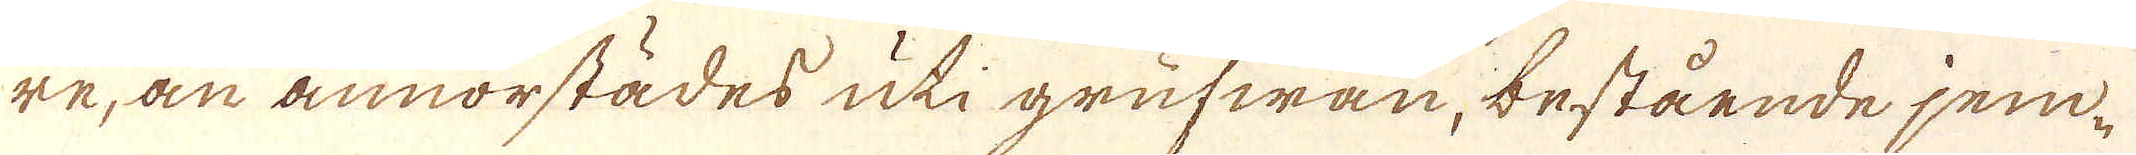re, än annorstädes uti grufwan, bestående jem-
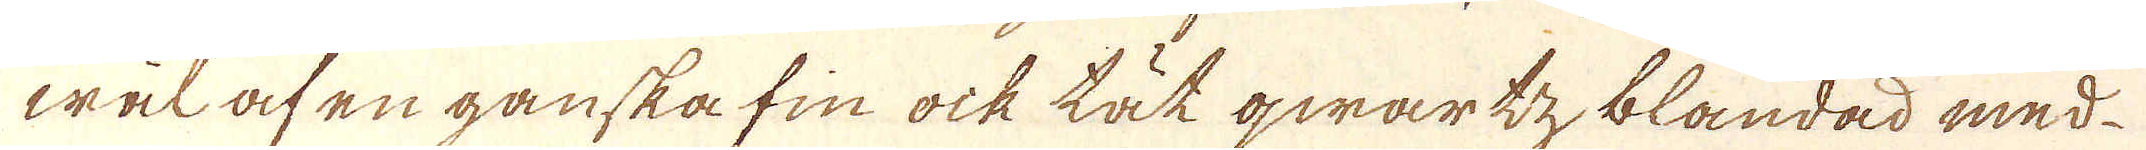wäl af en ganska fin ock tät qwartz, blandad med
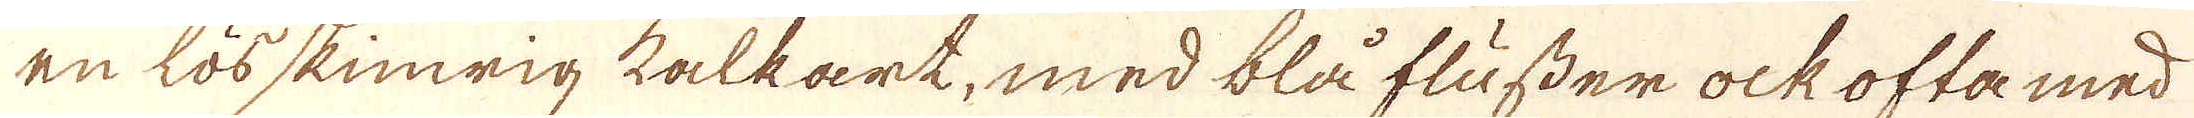en lösskimwrig kalkart, med blå flusser ock ofta med
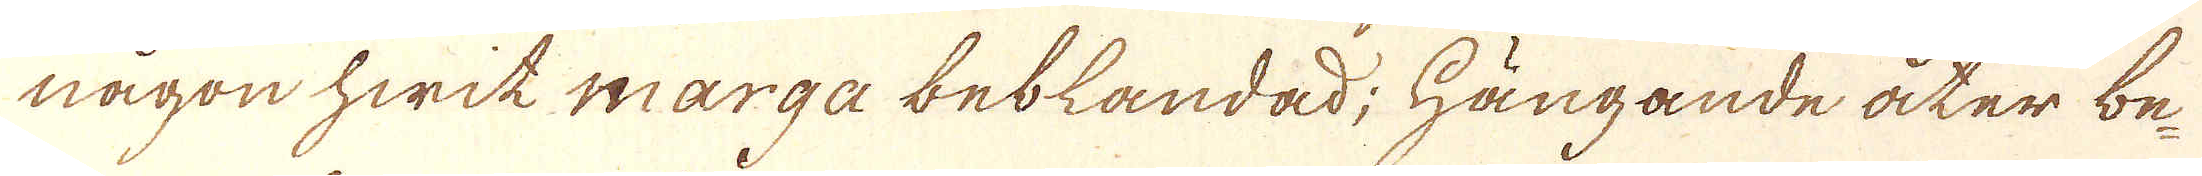någon hwit marga beblandad; Hängande åter be-
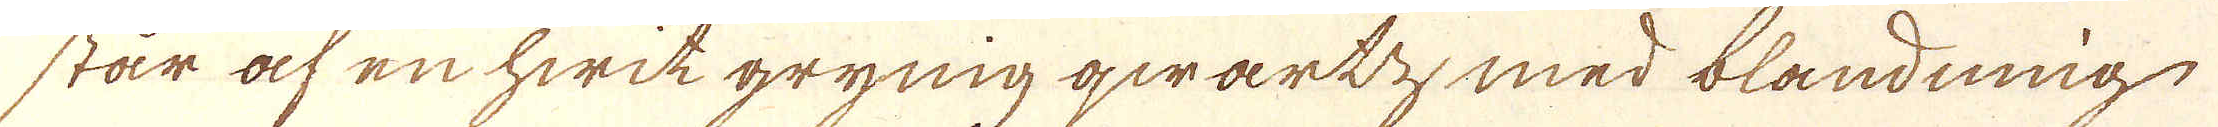står af en hwit grynig qwartz, med blandning
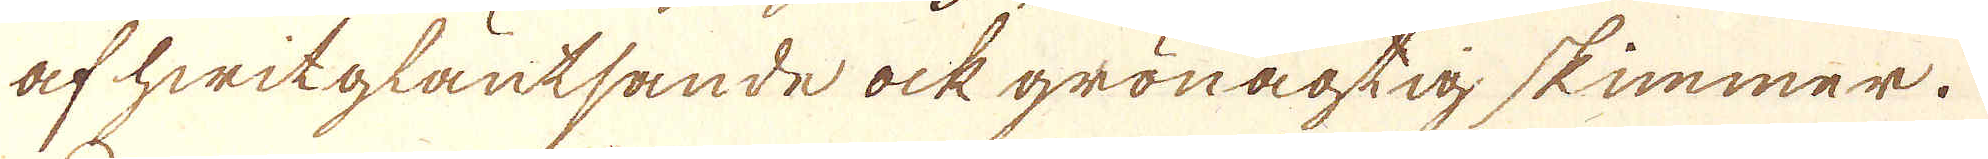af hwit glautsande ock grönagtig skimmer.
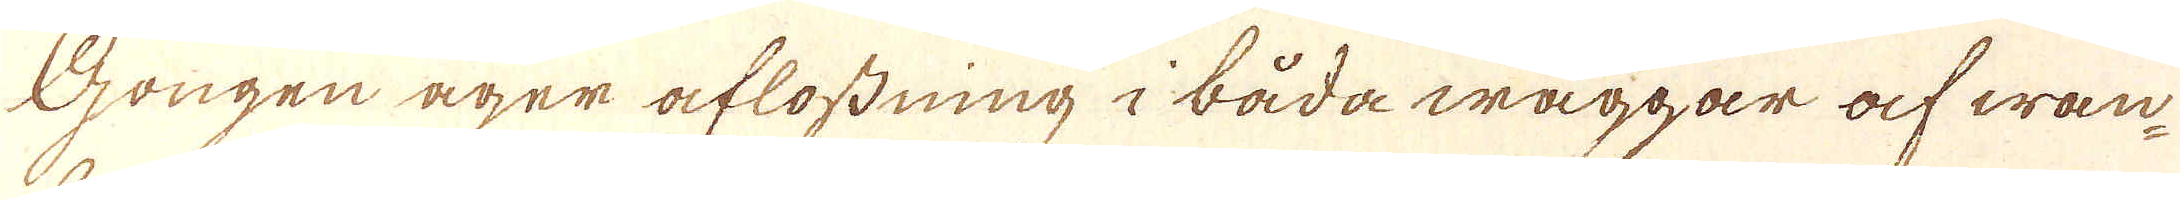Gongen äger aflostning i båda wäggar af wan-
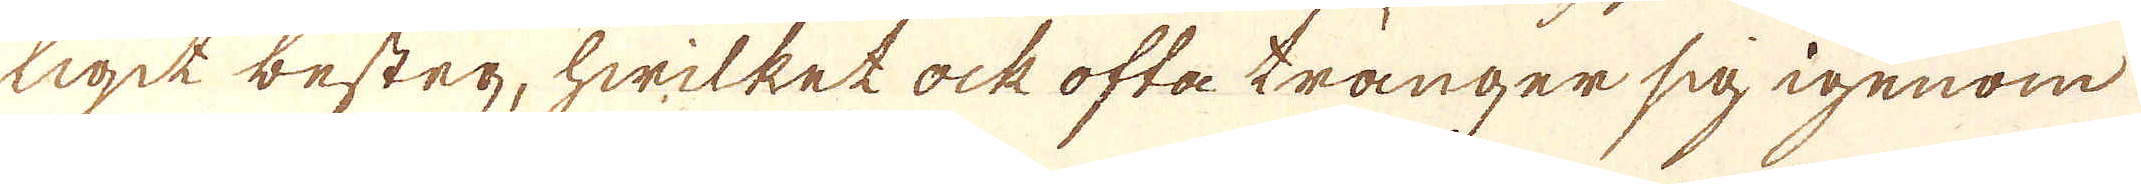ligit besteg, hwilket ock ofta tränger sig igenom
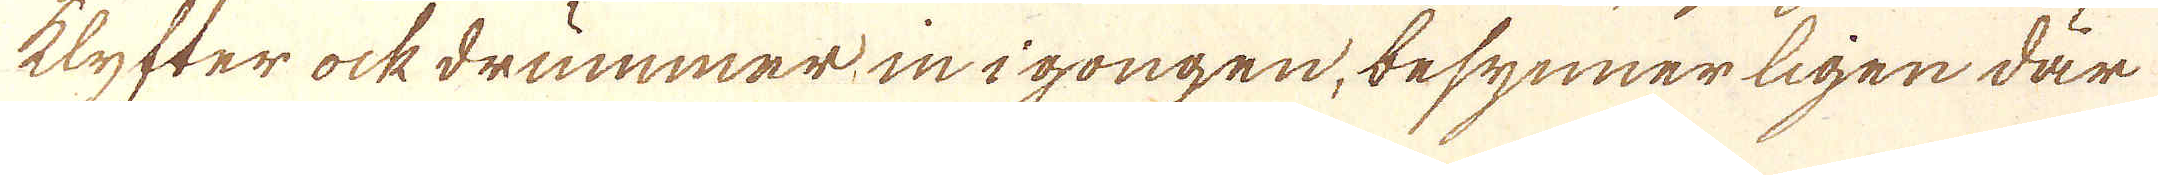klyfter ock drummar, in i gongen, besynnerligen där
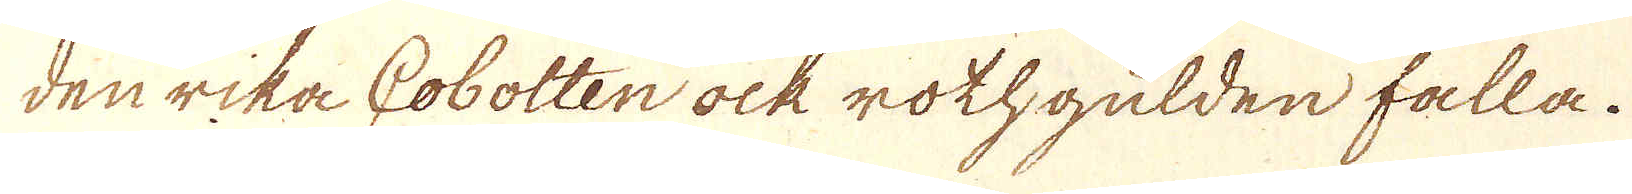den rika Cobolten ock rothgulden falla.
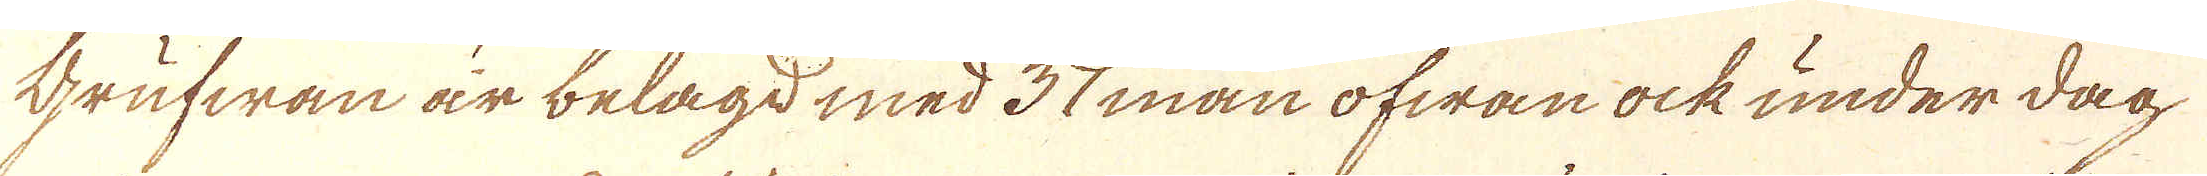Grufwan är belagd med 37 man ofwan ock under dag
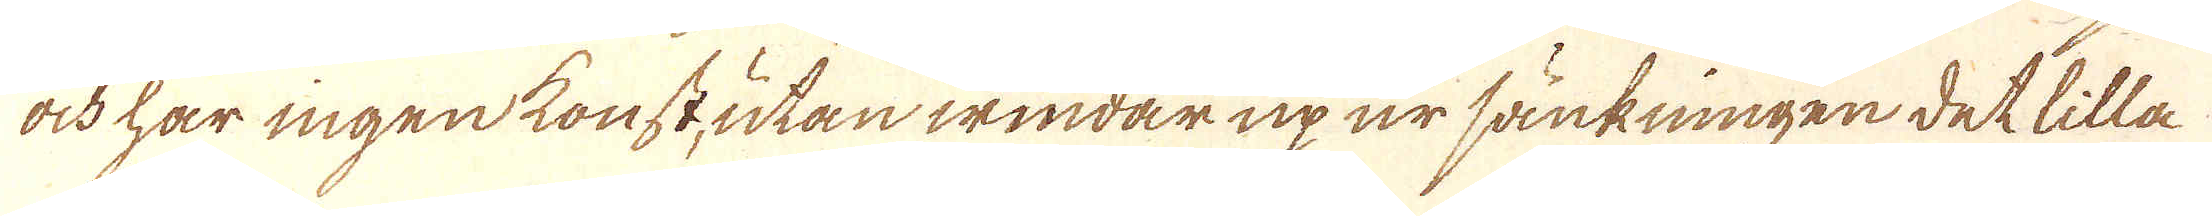ock har ingenkonst, utan windar up ur sänkningen det lilla
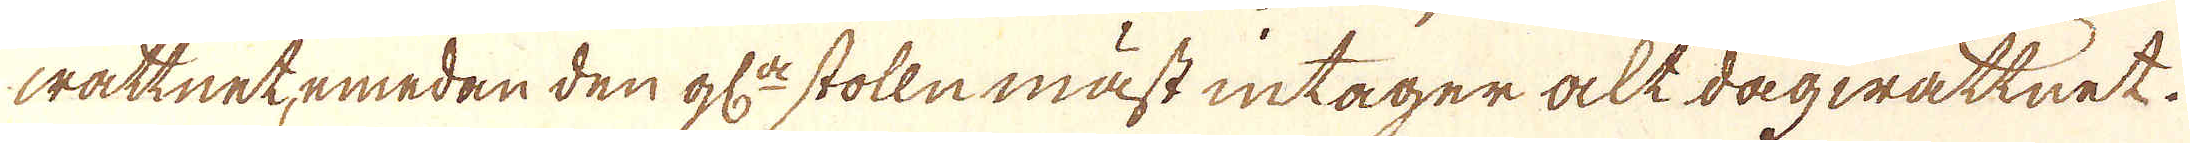wattnet, emedan den gl:de stolln måst intager alt dagwättnet.
